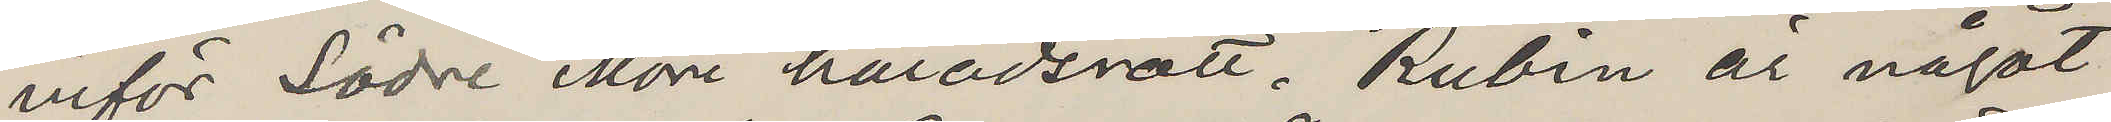inför Södre Möre häradsrätt. Rubin är något
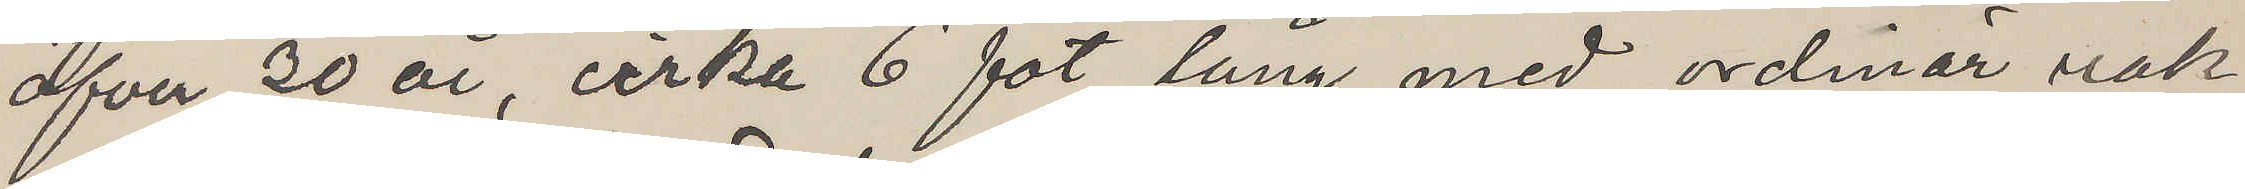öfver 20 år, cirka 6 fot lång med ordinär rak
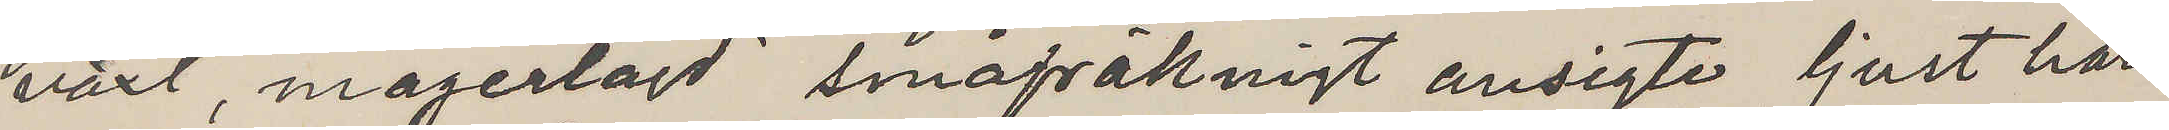växt, magerlagd småfräknigt ansigte ljust hår
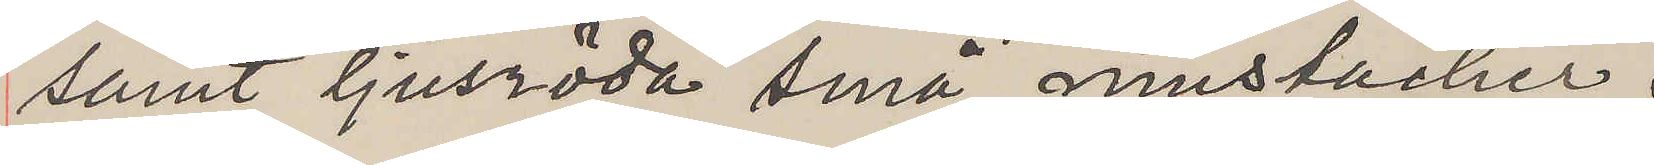samt ljusröda små mustacher.
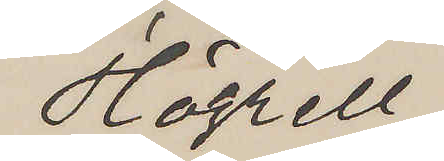Högrell
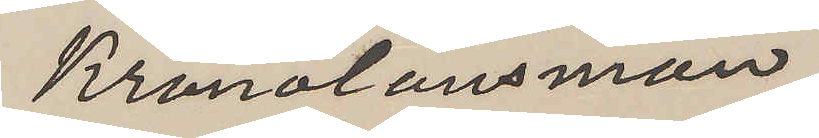Kronolänsman
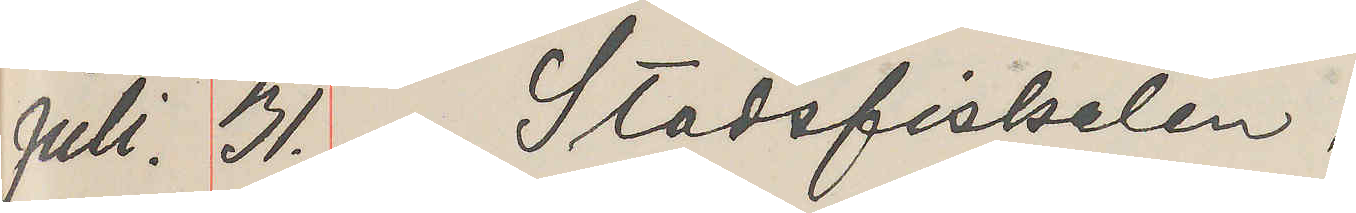Juli. 31. Stadsfiskalen.
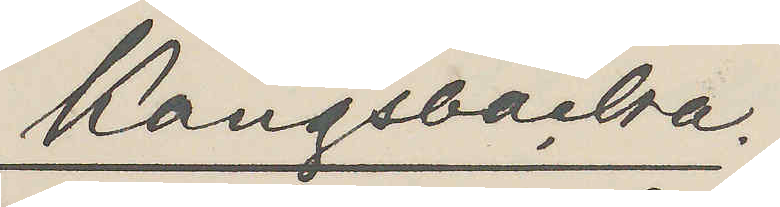Kungsbacka.
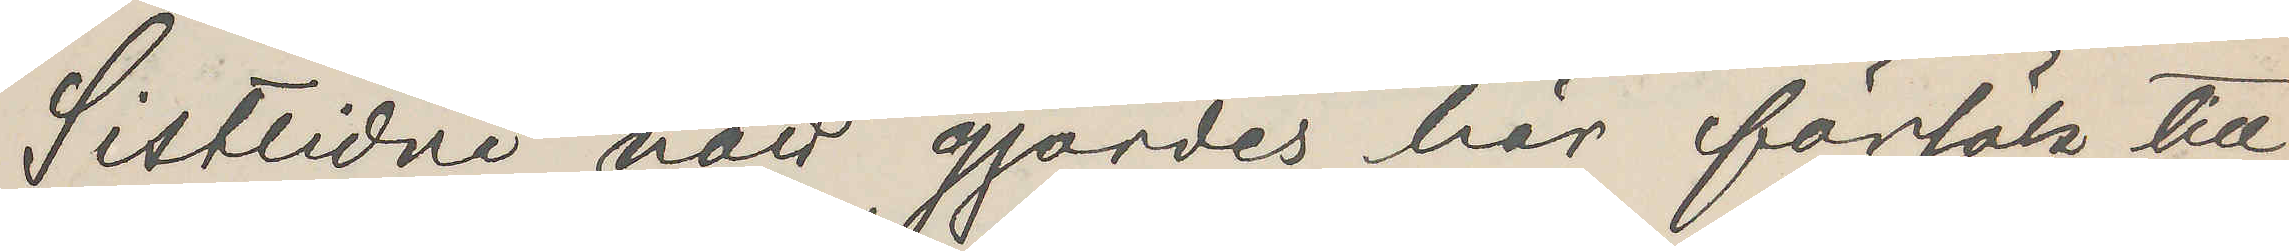Sistlidne natt gjordes här försök till
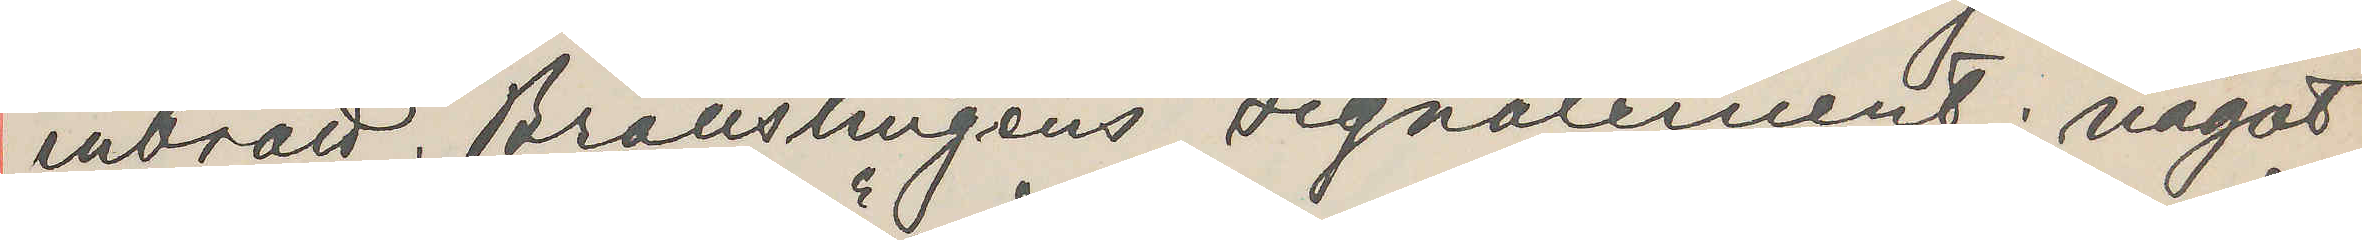inbrott. Brottslingens signalement: något
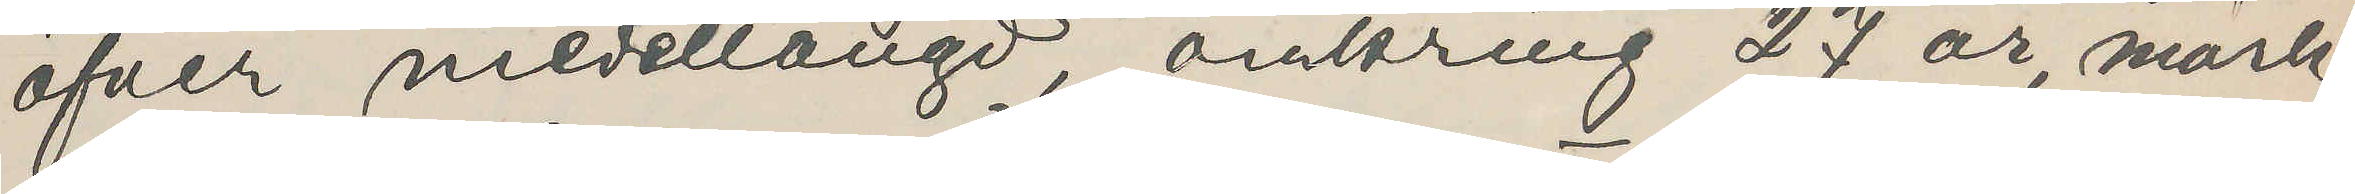öfver medellängd, omkring 27 år, mörk¬
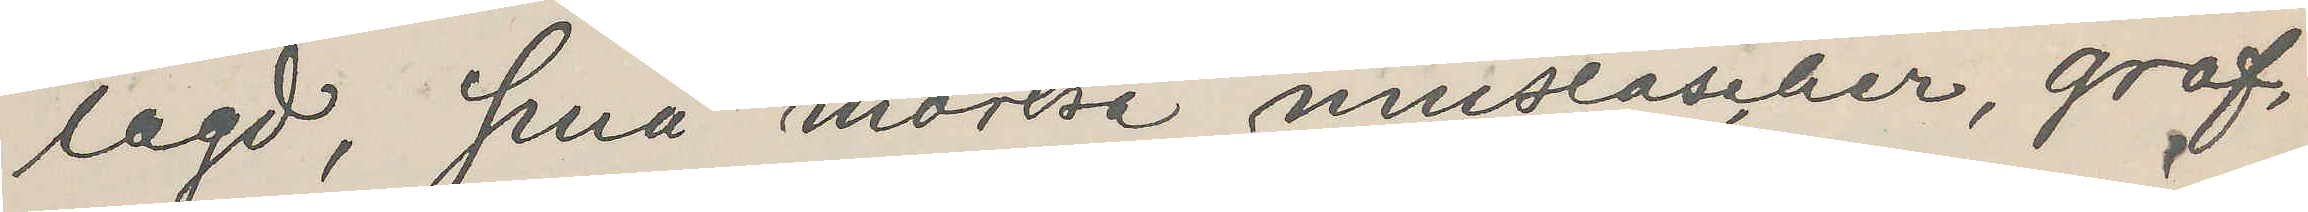lagd, små mörka mustascher, grof,
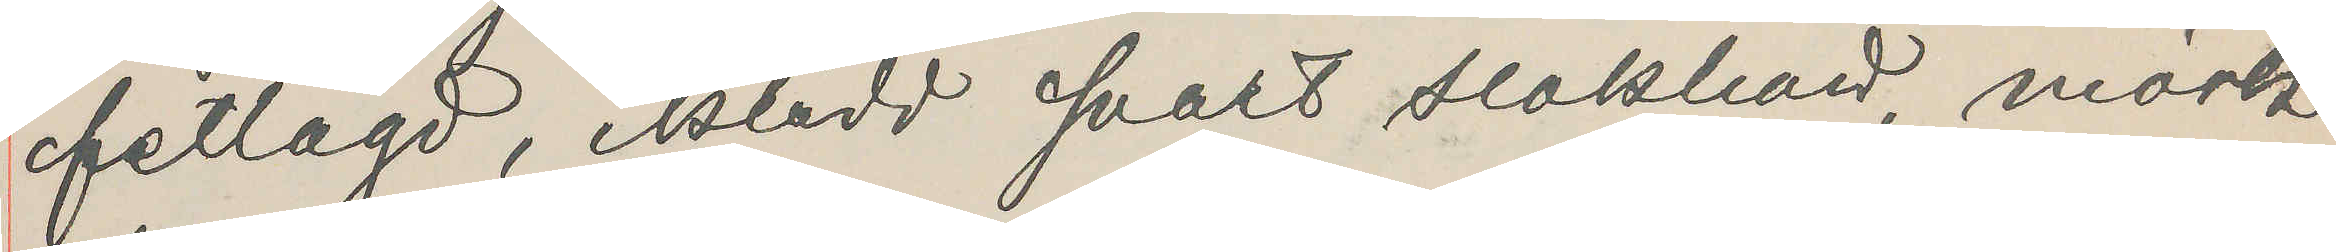fetlagd, iklädd svart slokhatt, mörk
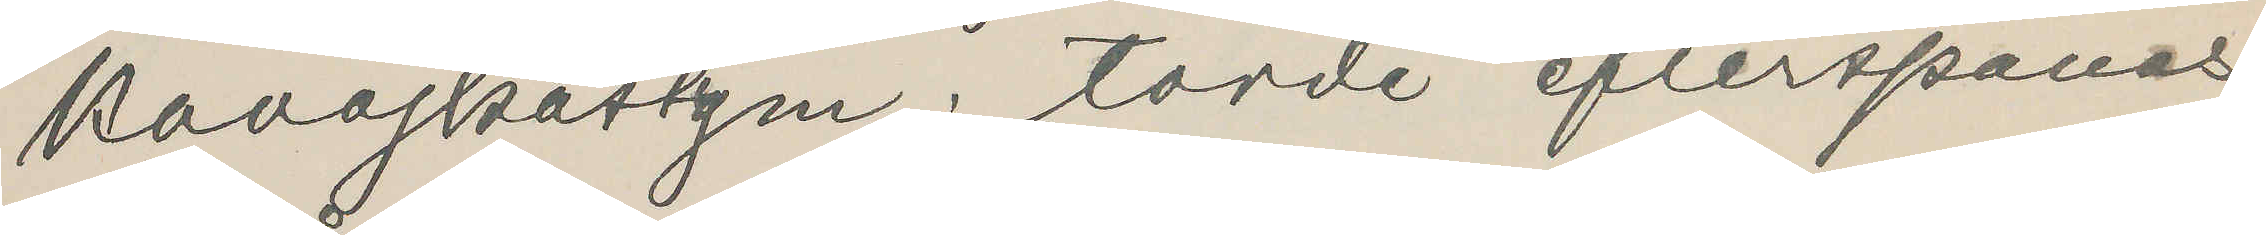kavajkostym; torde efterspanas,
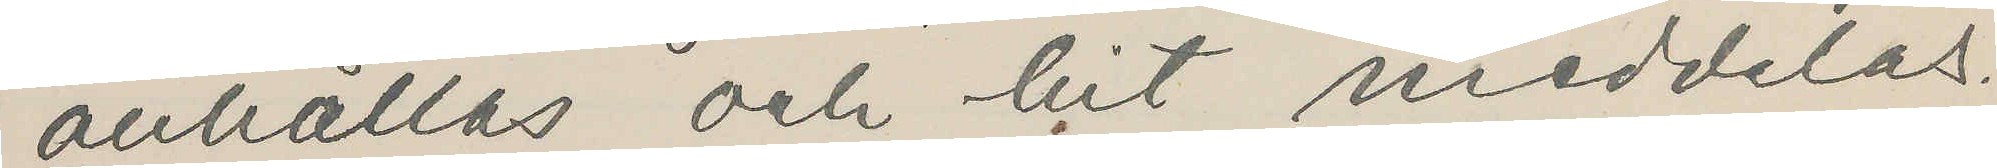anhållas och hit meddelas.
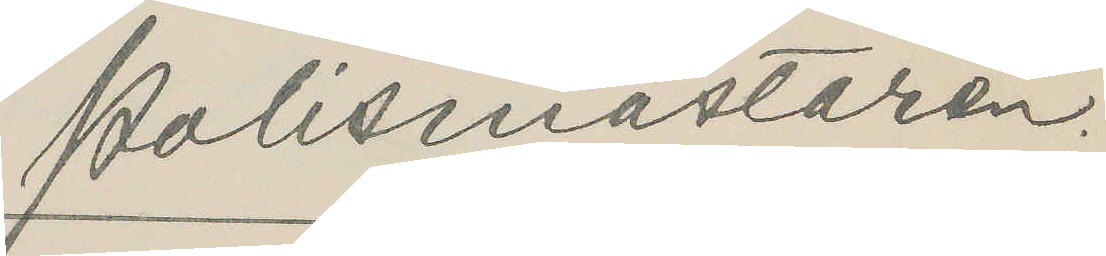Polismästaren.
